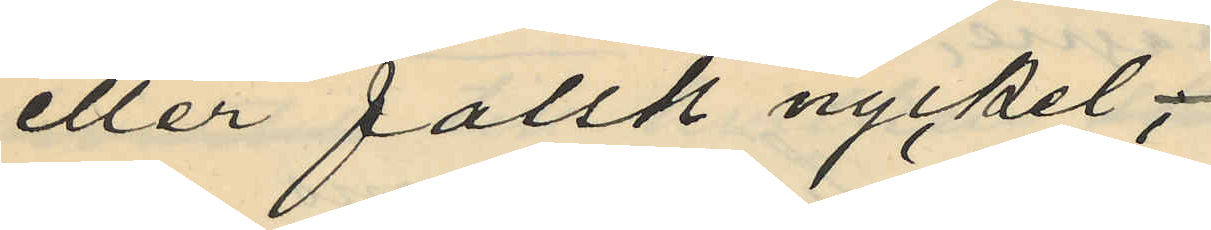eller falsk nyckel,
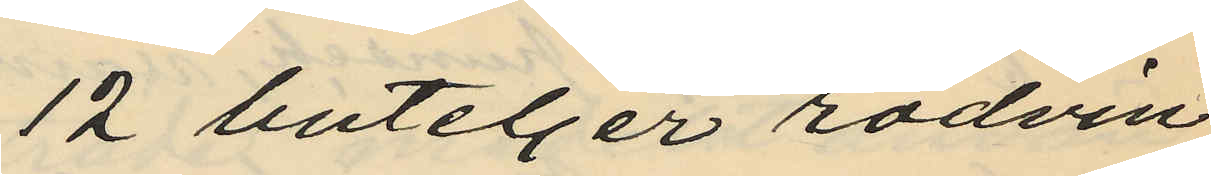12 buteljer rödvin
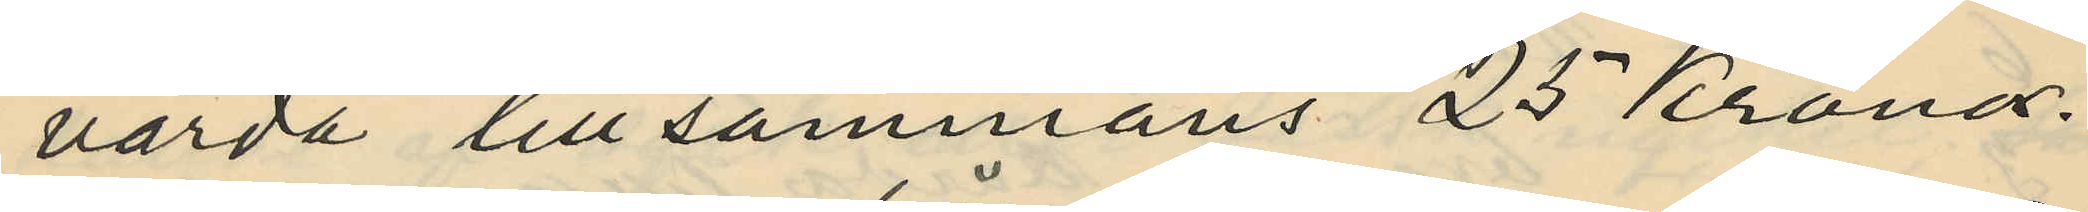värda tillsammans 25 Kronor.
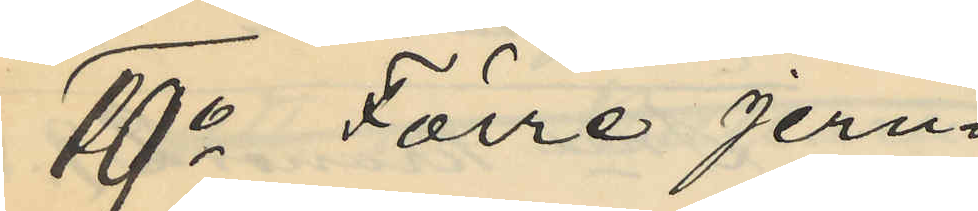19o Förre jern¬
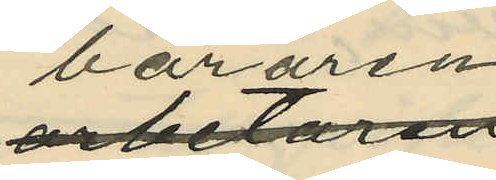bäraren
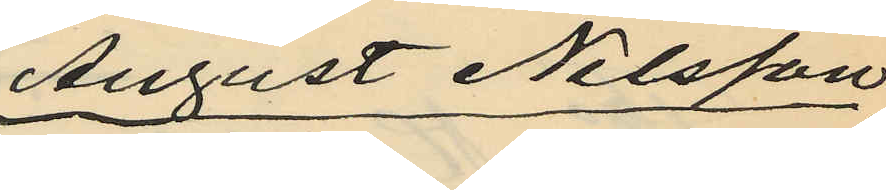August Nilsson,
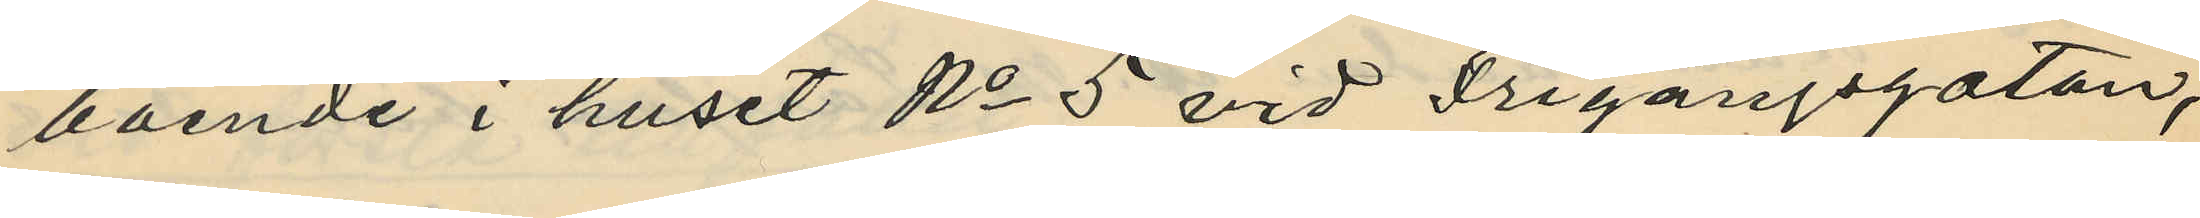boende i huset No 5 vid Frigångsgatan,
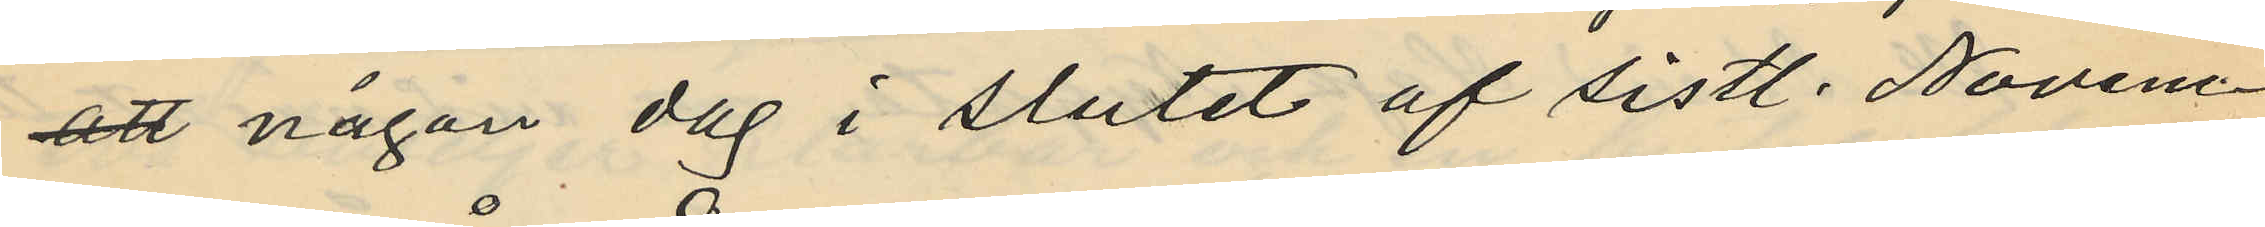att någon dag i slutet af sistl. Novem¬
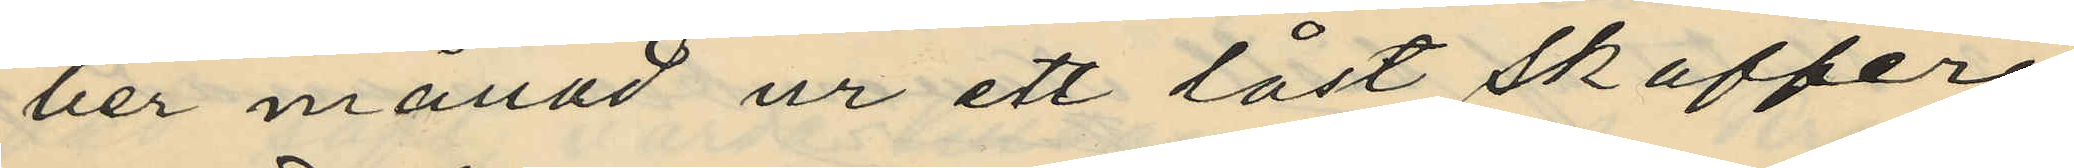ber månad ur ett låst skafferi
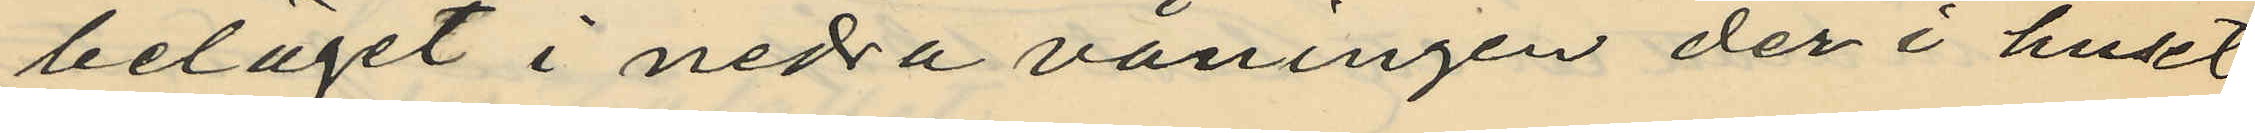beläget i nedra våningen der i huset
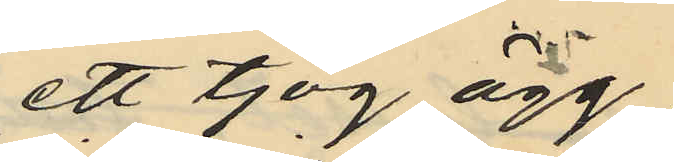ett tjog ägg
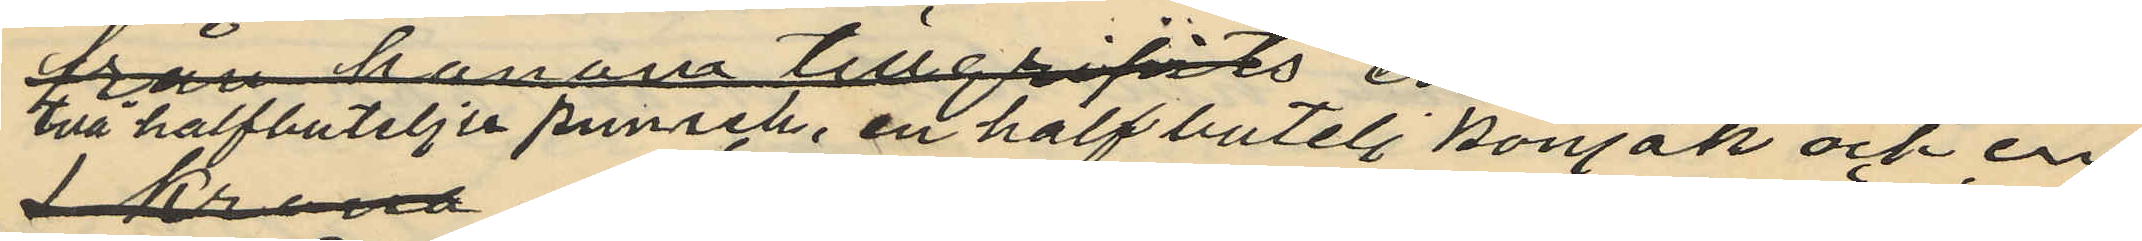två halfbuteljer punsch, en halfbutelj konjak och en
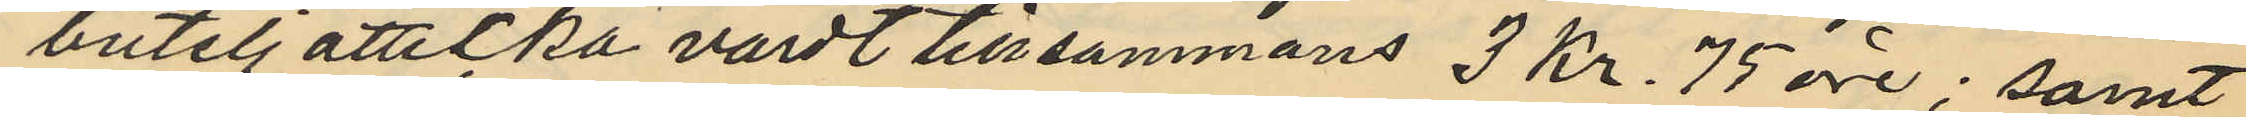butelj ätticka värdt tillsammans 3 Kr. 75 öre; samt
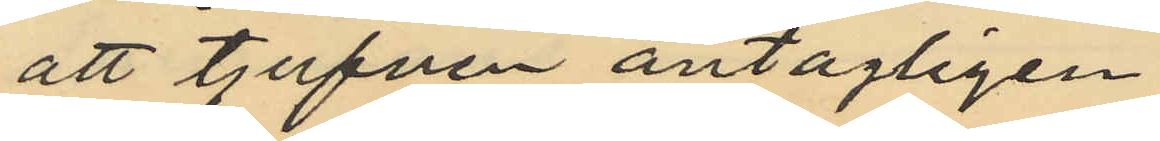att tjufven antagligen
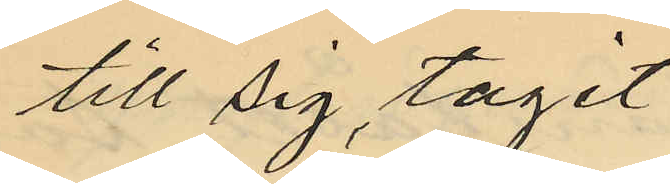till sig tagit
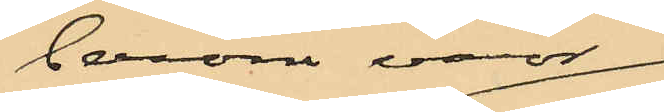berörda varor
